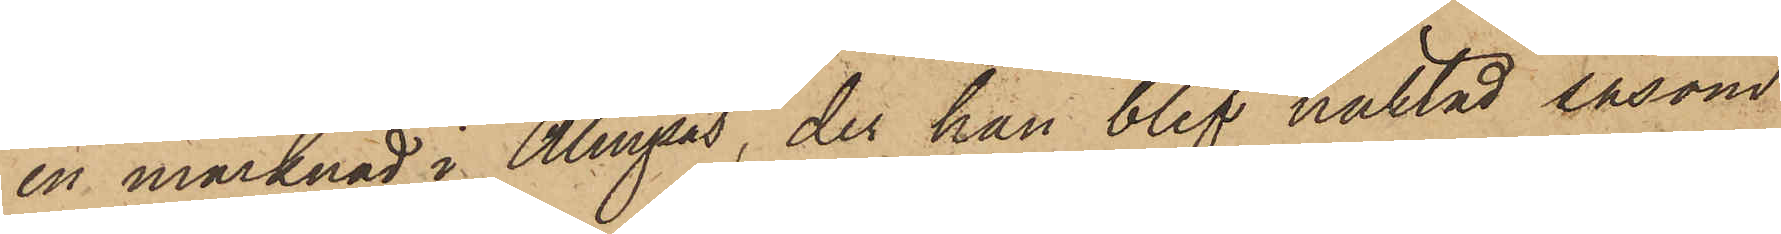en marknad i Alingsås, der han blef häktad såsom
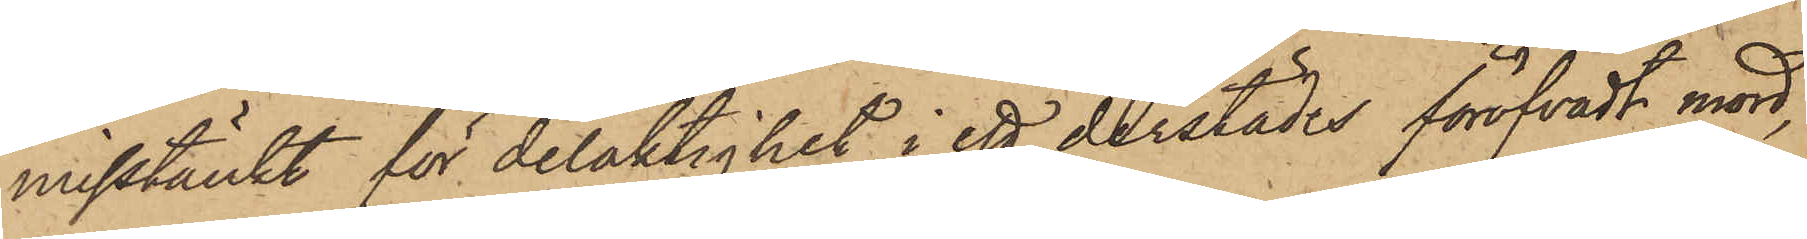misstänkt för delaktighet i ett derstädes föröfvadt mord,
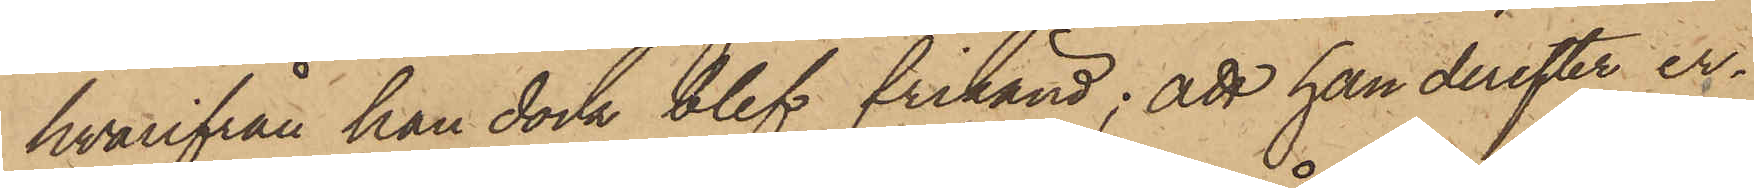hvarifrån han dock blef frikänd; att han derefter er¬
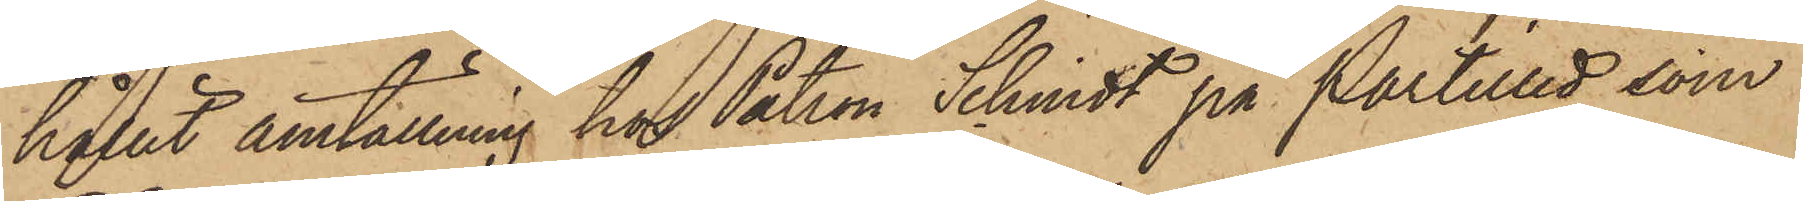hållit anställning hos Patron Schmidt på Partilled som
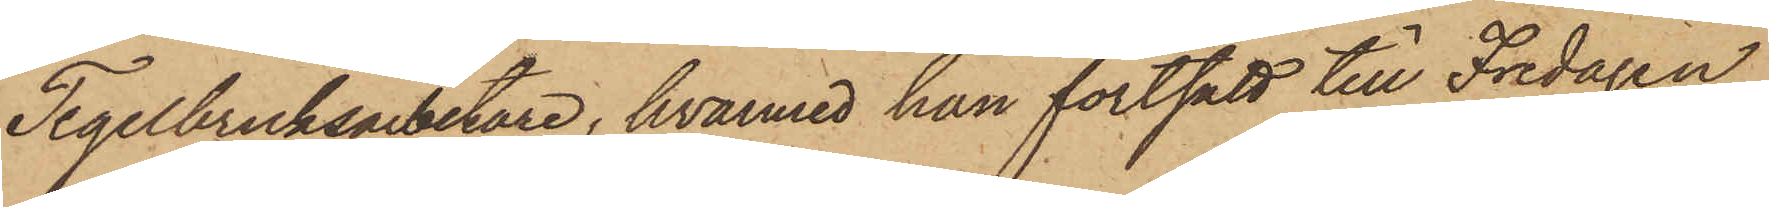Tegelbruksarbetare, hvarmed han fortsatt till Fredagen
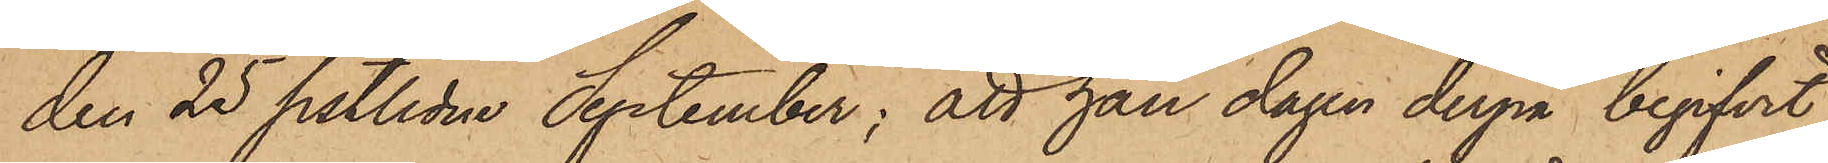den 25 sistlidne September; att han dagen derpå begifvit
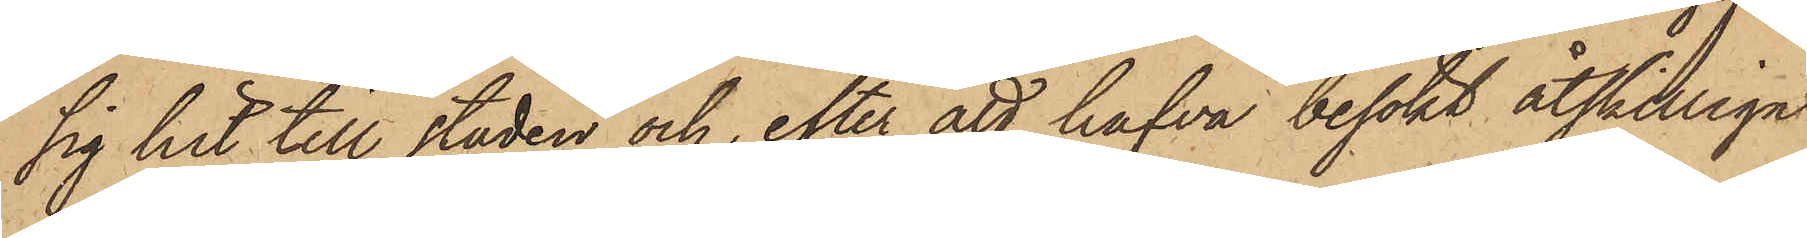sig hit till staden och, efter att hafva besökt åtskilliga
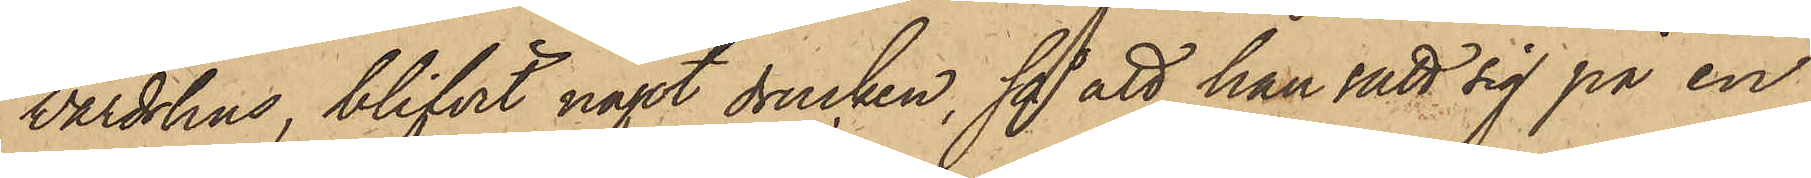Värdshus, blifvit något drucken, så att han satt sig på en
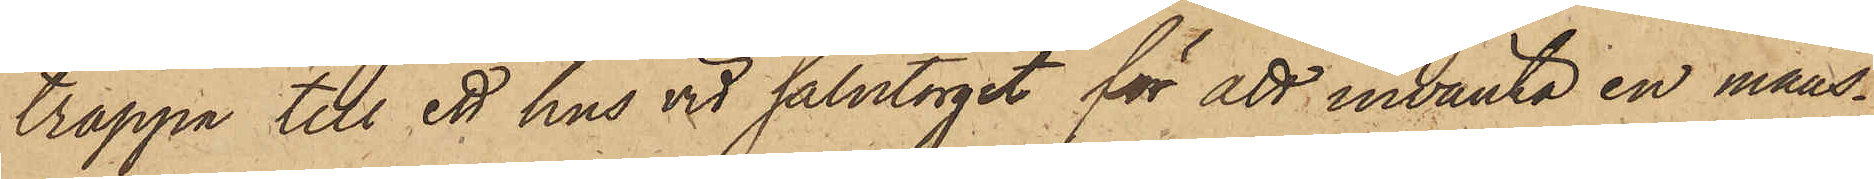trappa till ett hus vid salutorget för att invänta en mans¬
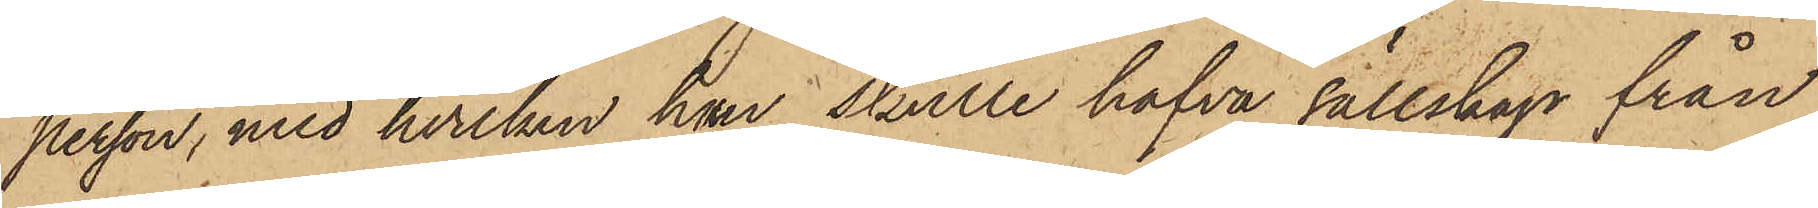person, med hvilken han skulle hafva sällskap från
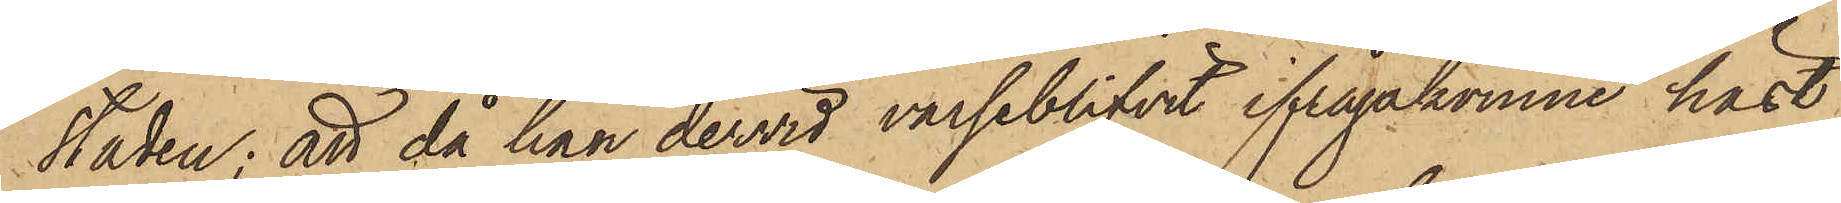staden; att då han dervid varseblifvit ifrågakomne häst
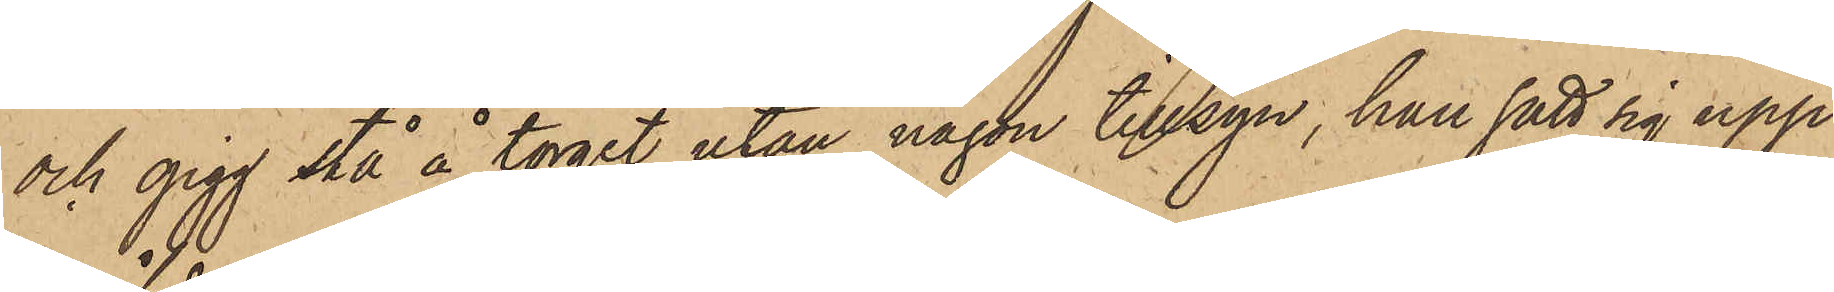och gigg stå å torget utan någon tillsyn, han satt sig upp¬
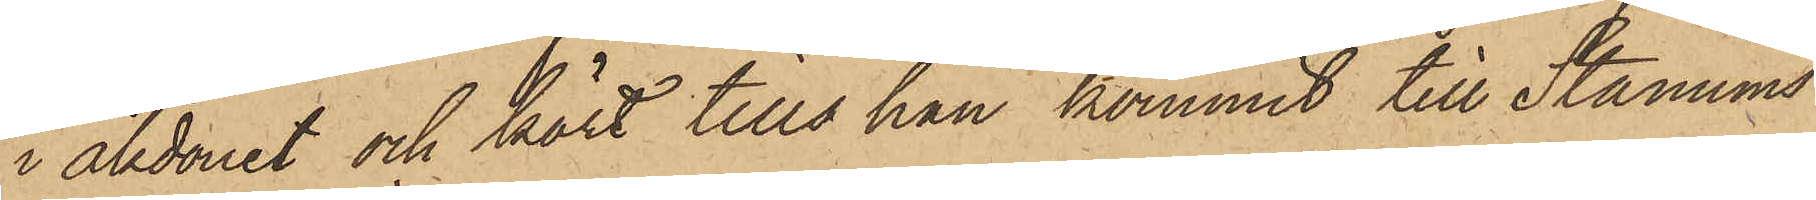i åkdonet och kört tills han kommit till Stanums
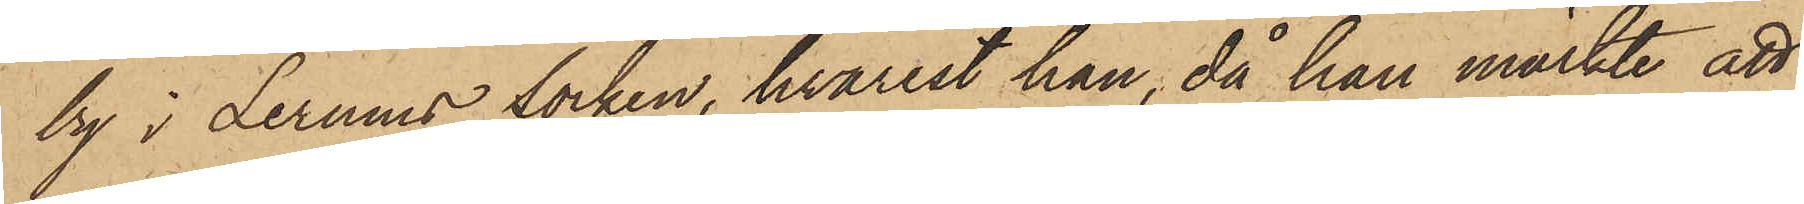by i Lerums socken, hvarest han, då han märkte att
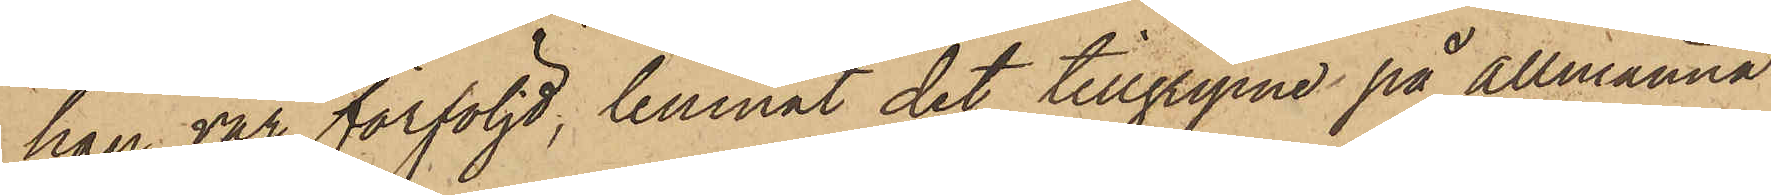han var förföljd, lemnat det tillgripne på Allmänna
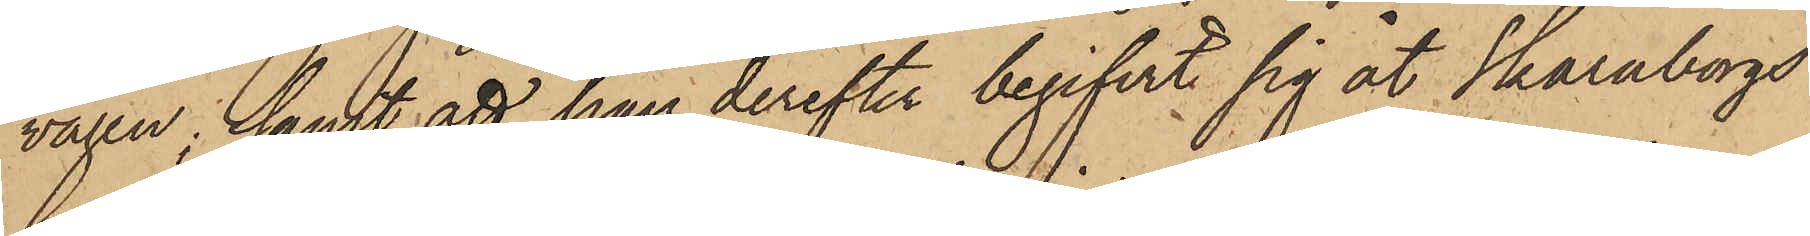vägen; samt att han derefter begifvit sig åt Skaraborgs
